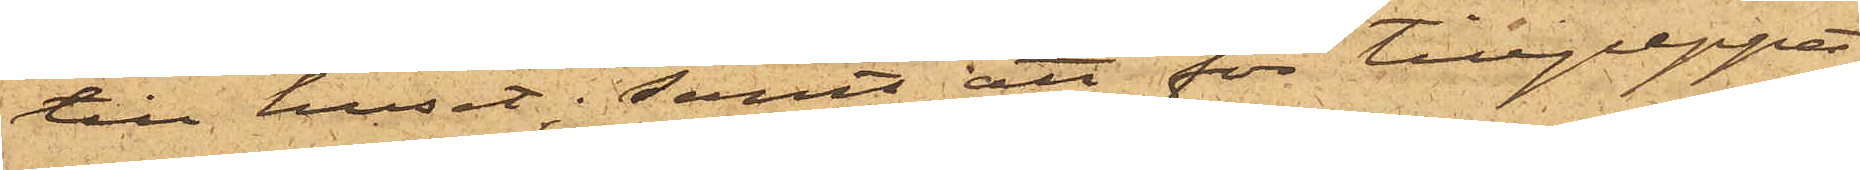till huset; samt att för tillgreppet
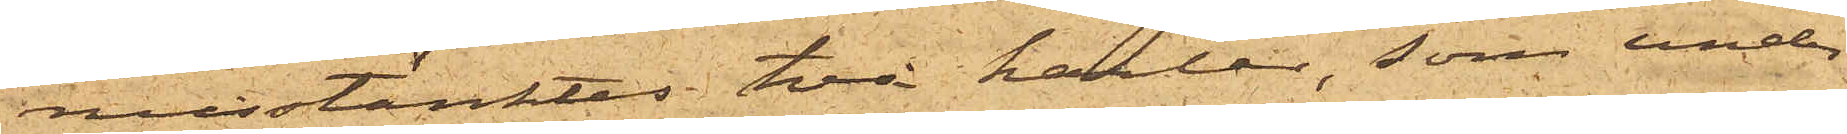misstänktes två karlar, som under
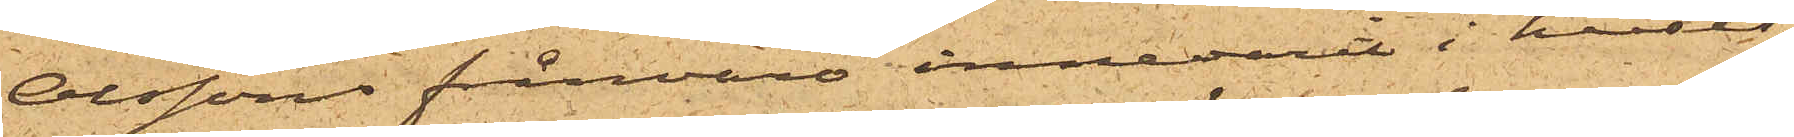Olssons frånvaro innevarit i huset,
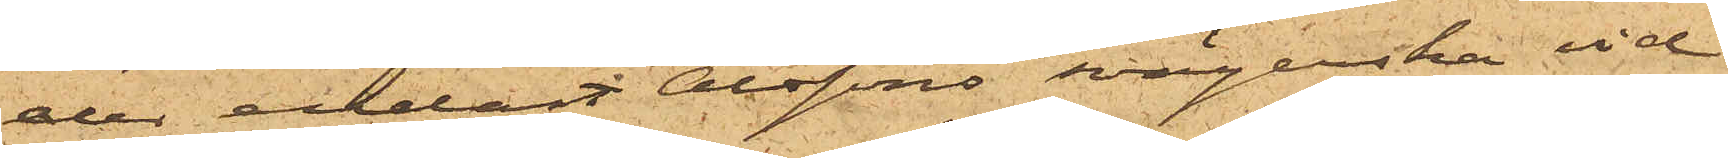der endast Olssons svägerska vid
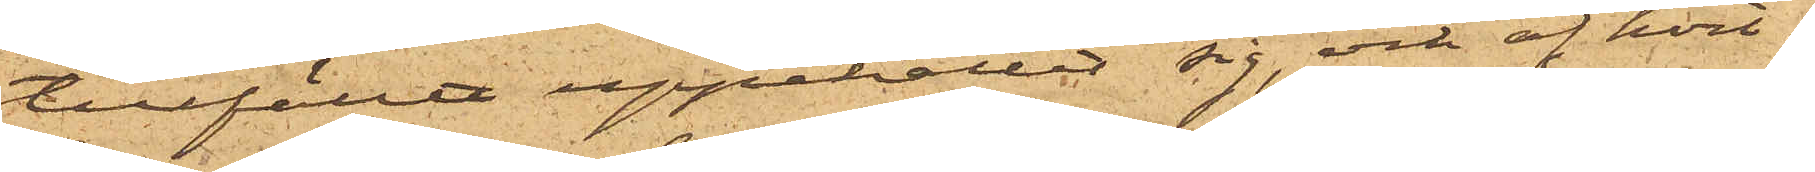tillfället uppehållit sig, och af hvil¬
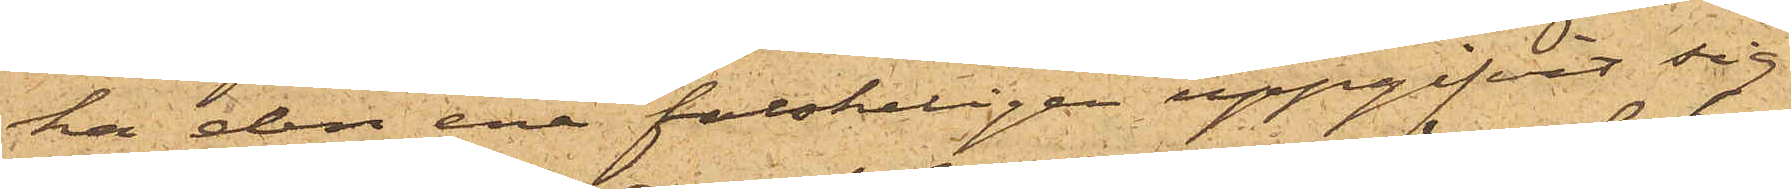ka den ene falskeligen uppgifvit sig
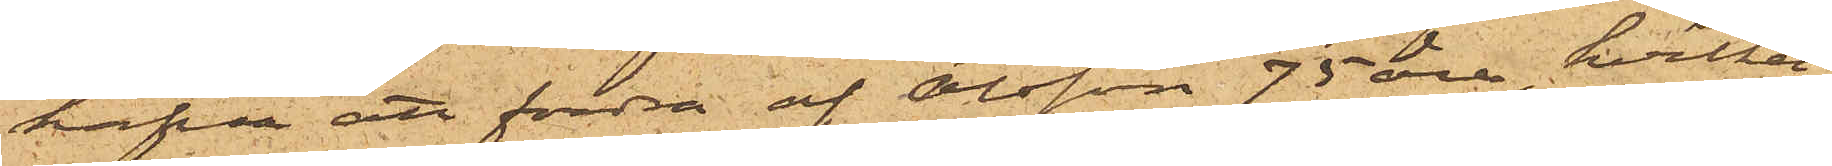hafva att fordra af Olsson 75 öre, hvilket
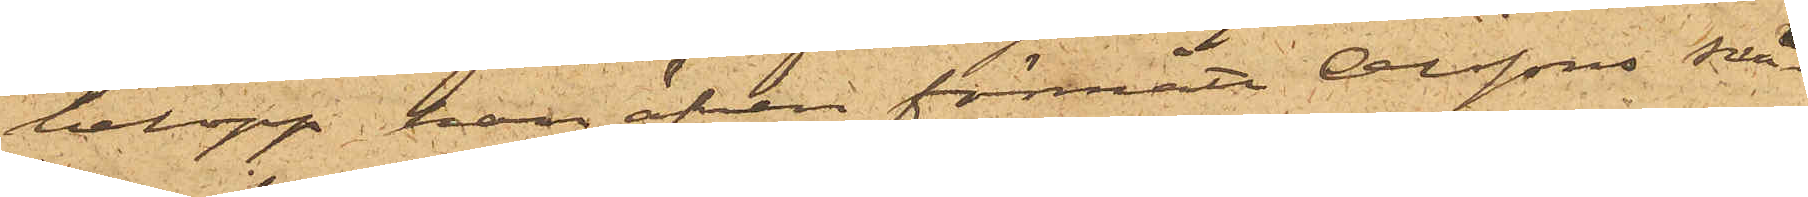belopp han äfven förmått Olssons svä¬
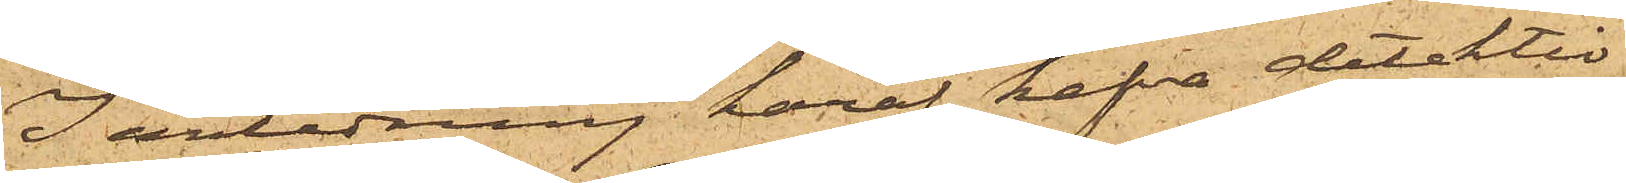I anledning häraf hafva detektiv¬
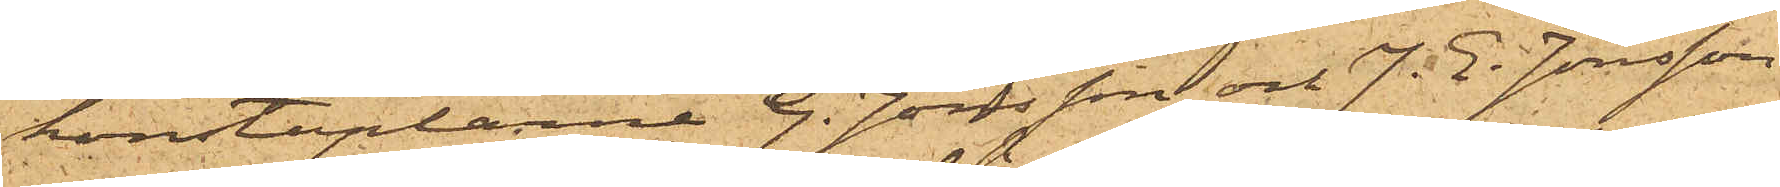konstaplarne G. Jönsson och J. E. Jönsson
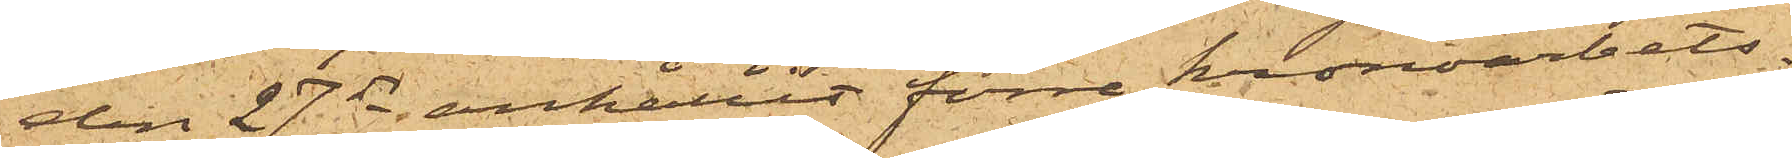den 27 ds anhållit förre kronoarbets¬
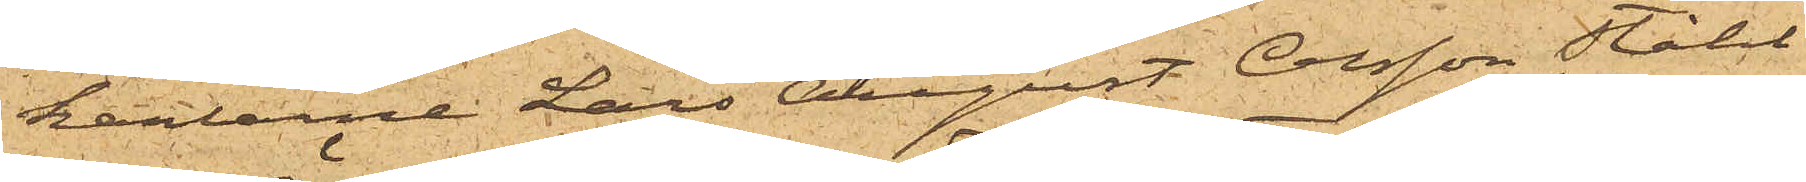karlarne Lars August Olsson Ståhl
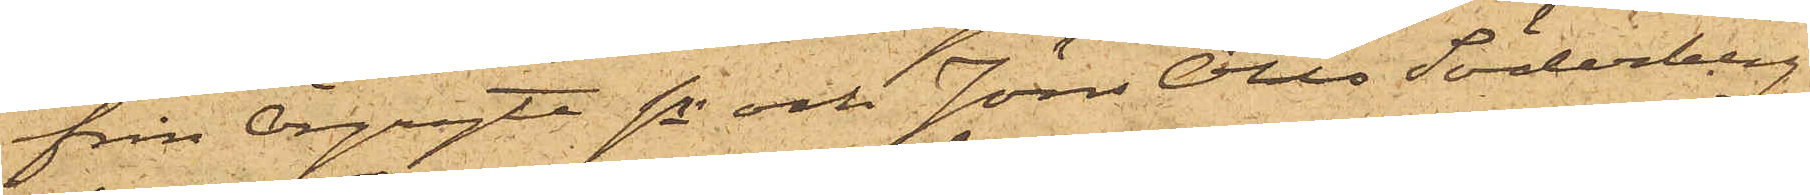från Örgryte sn och Jöns Otto Söderberg
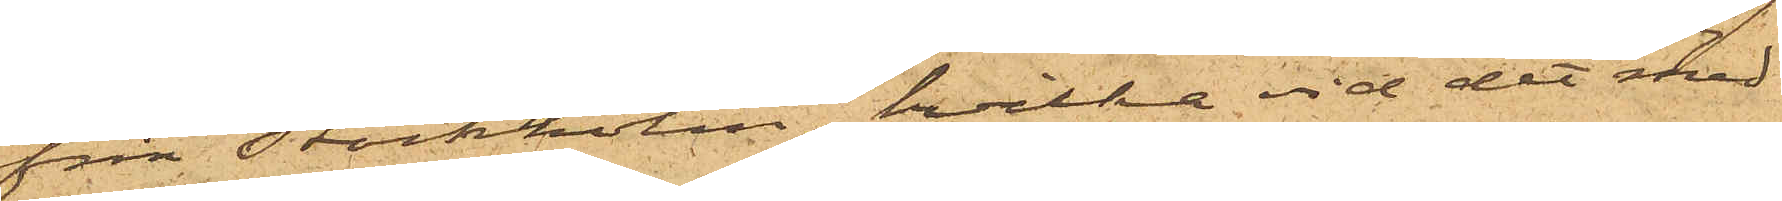från Stockholm, hvilka vid det med
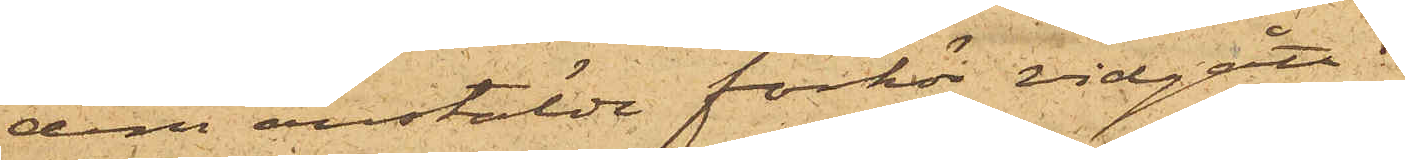dem anstälde förhör vidgått:
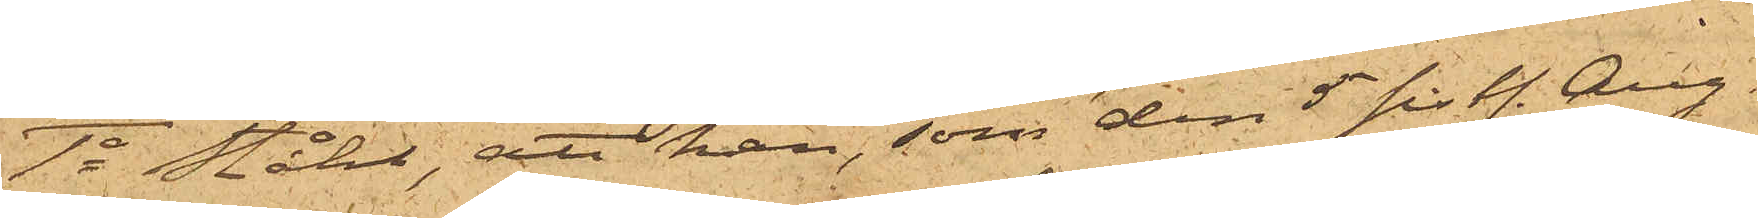1o Ståhl, att han, som den 5 sist. Aug.
